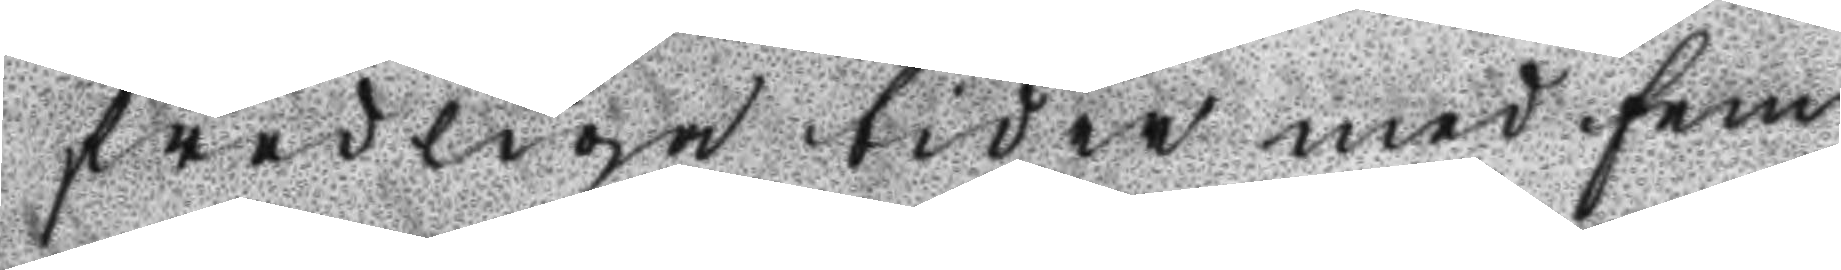i fredliga tider med fem
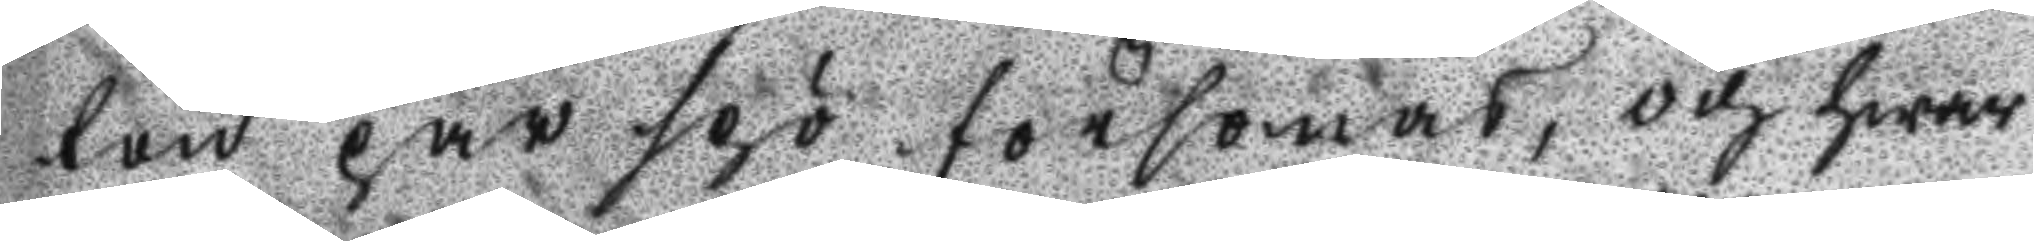ton par spö försonas, och hwar
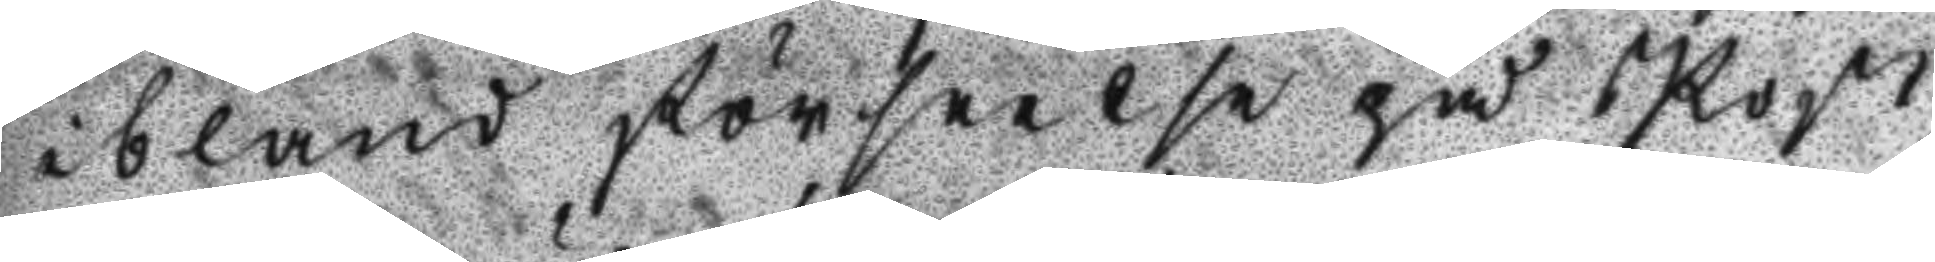ibland förseelse på Post
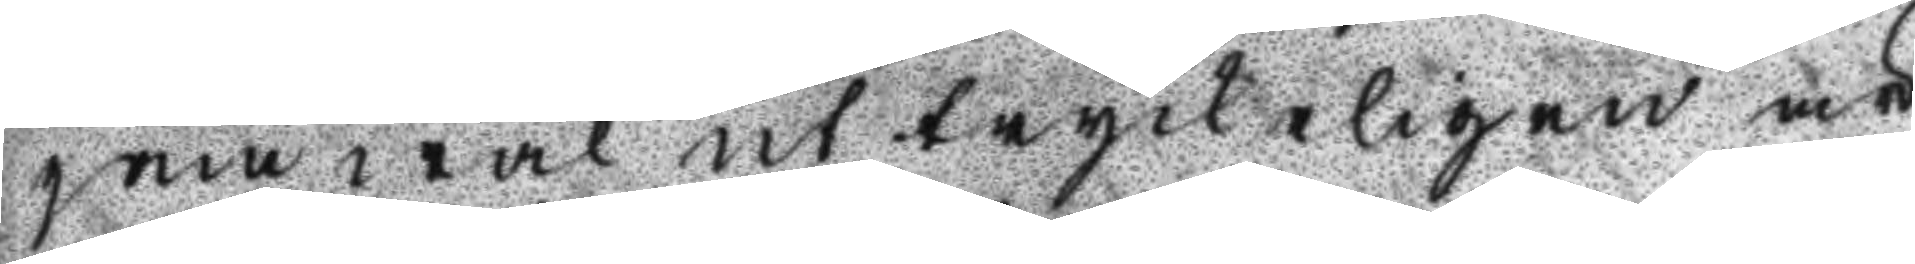jämwäl uttryckeligen är
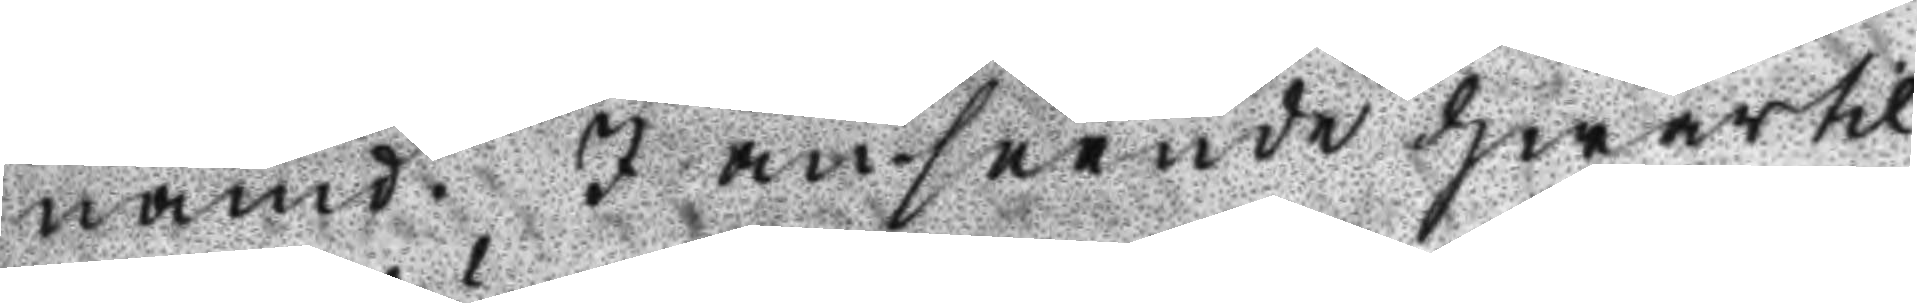nämd. I anseende hwartil
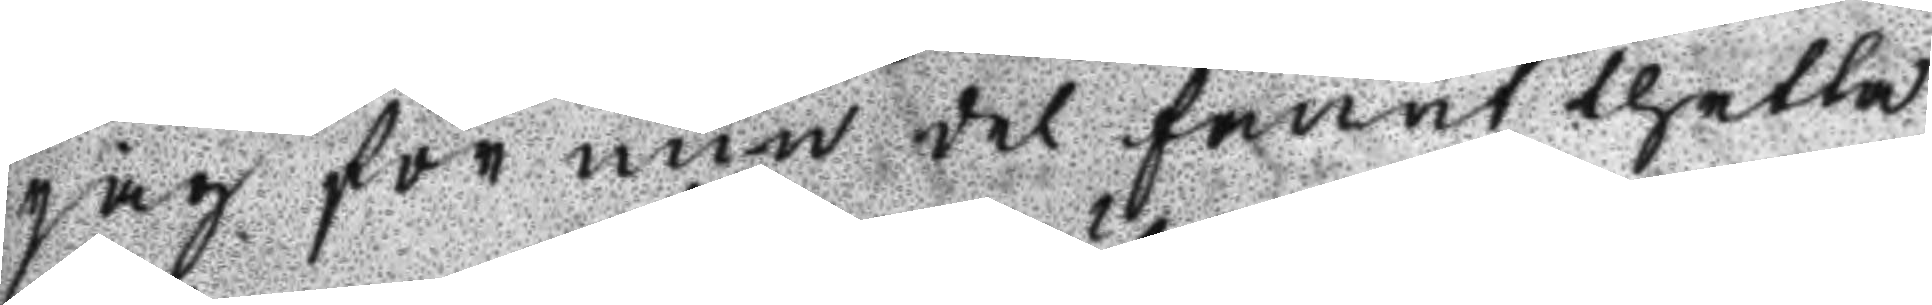jag för min del fannt thetta
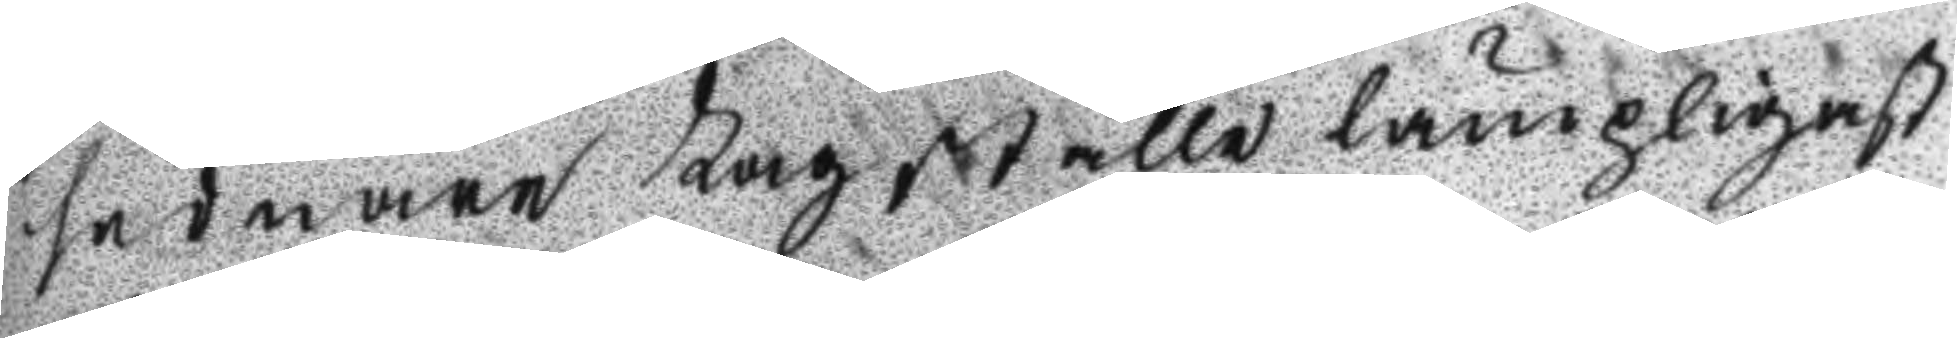sednare Lag ställe lämpligast
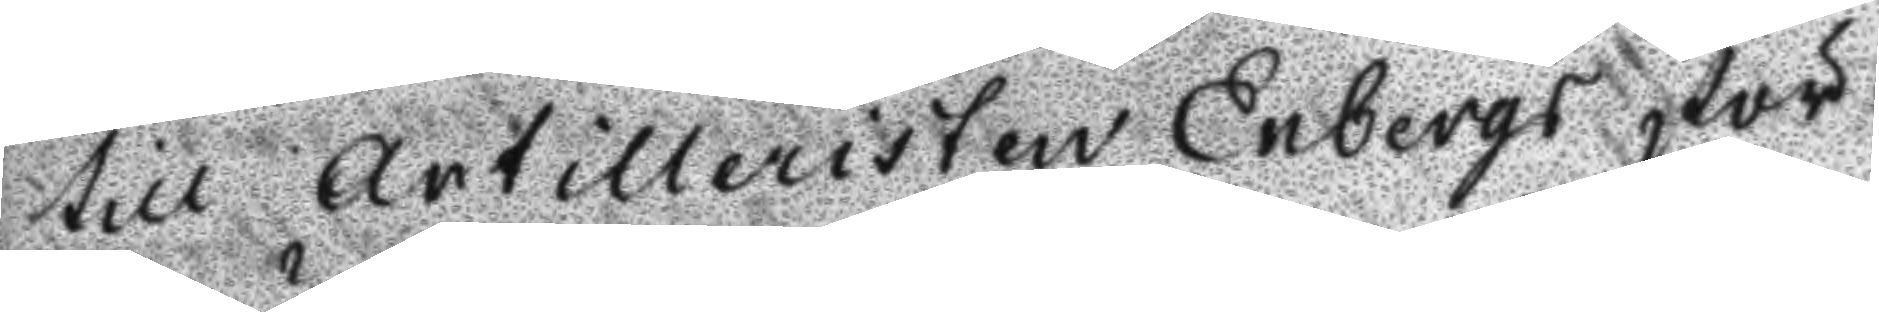till Artilleristen Enbergs för
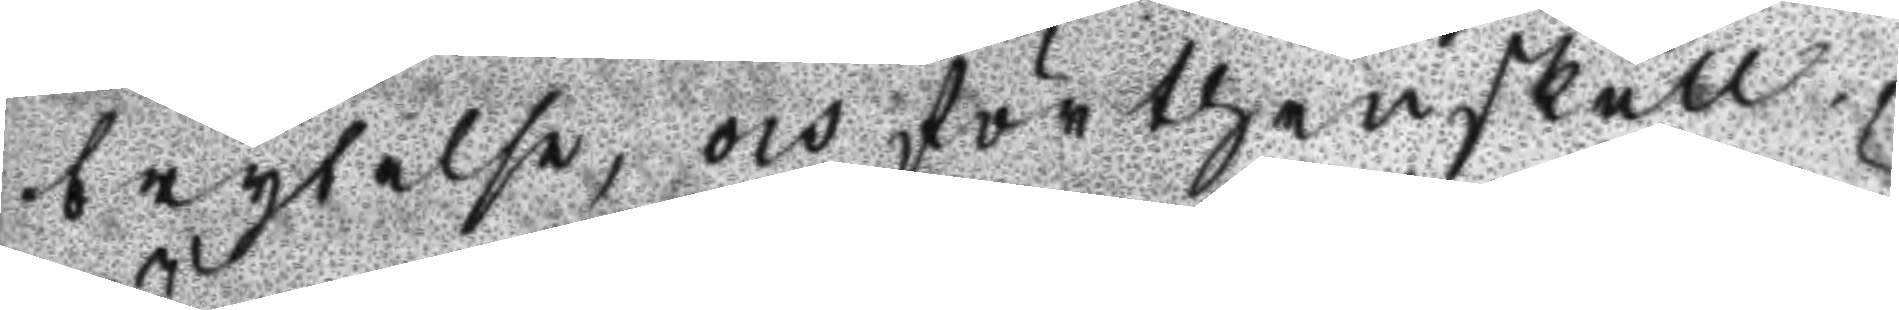brytelse, och för thenskull
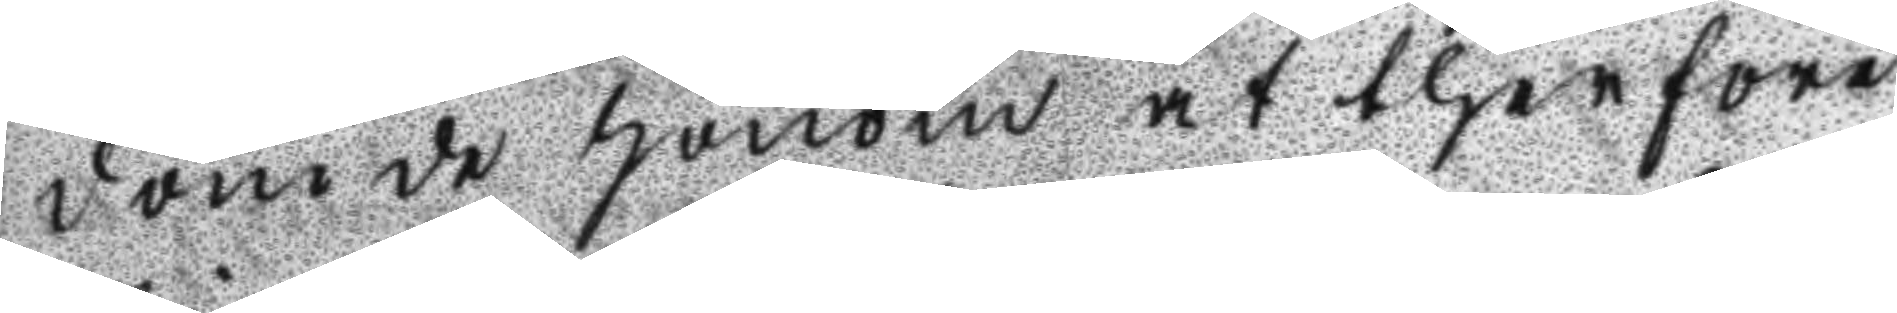dömde honom at therföre
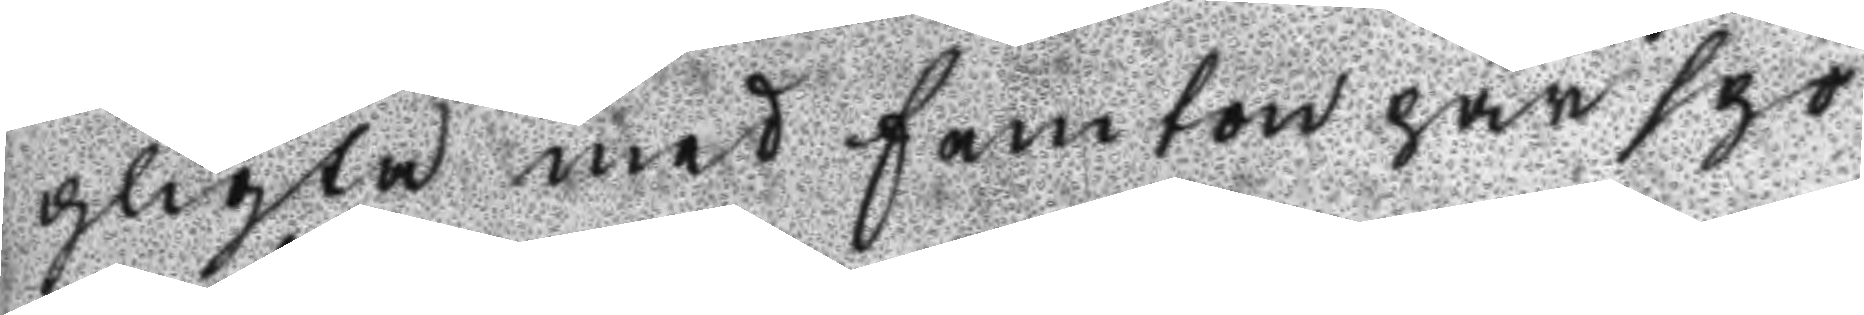pligta med femton par spö
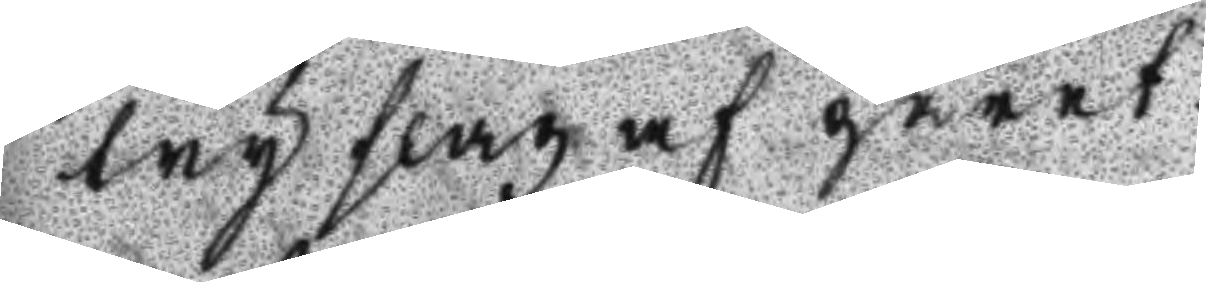try slag af paret.
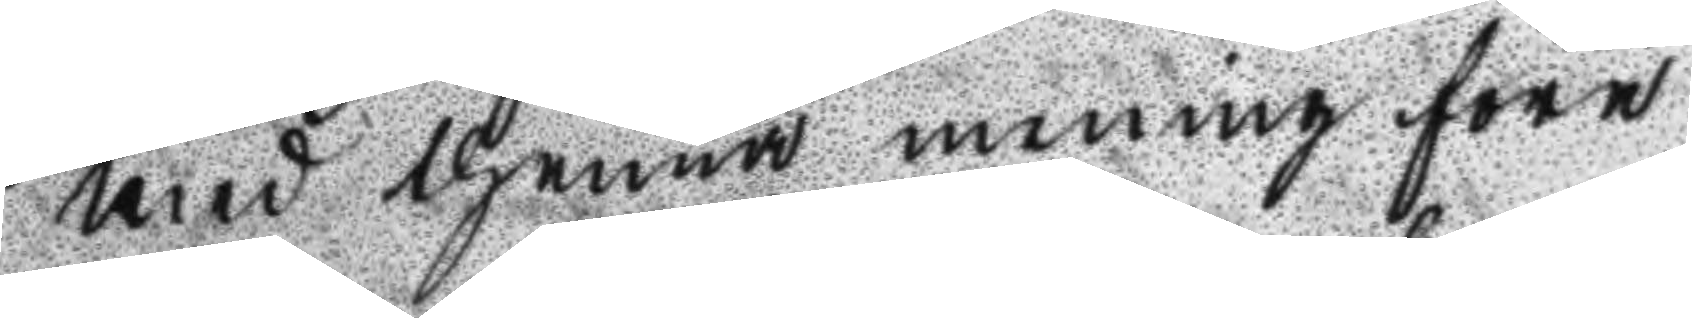Med thenna mening före
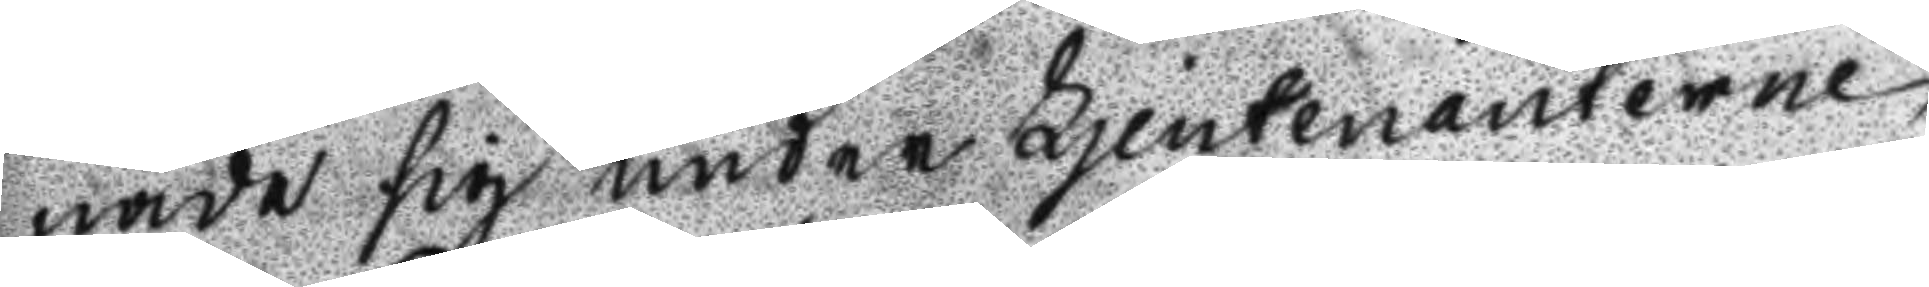nade sig under Ljeutenanterne
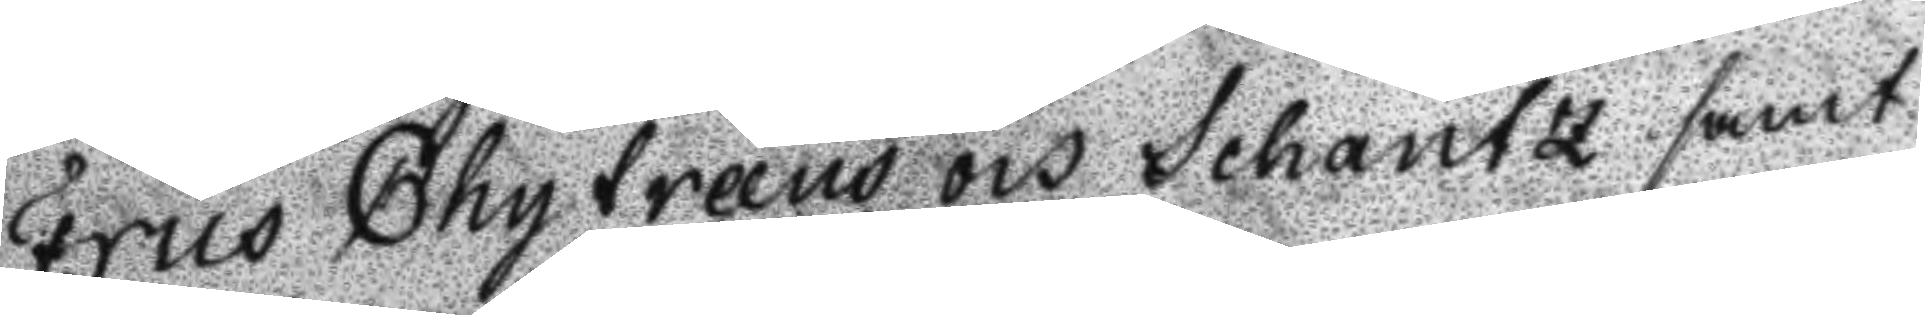Friis Chytreéus och Schants samt
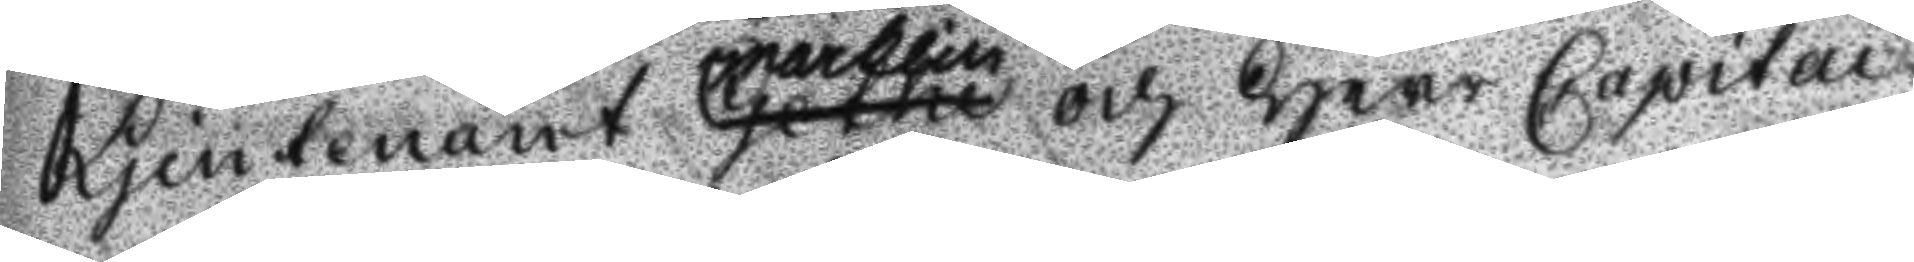Ljeutenant Gethe marklin och Herr Capitai
